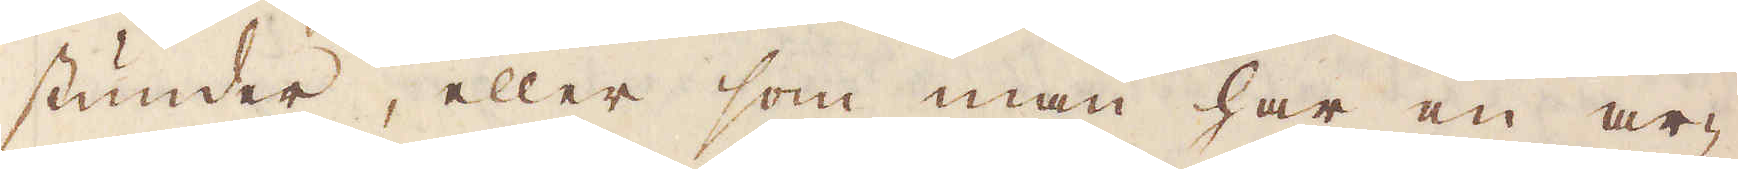stunder, eller som man har en ar-
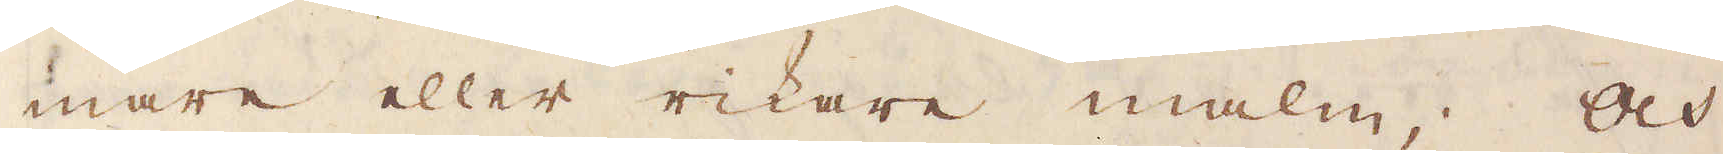mare eller rikare malm; Och
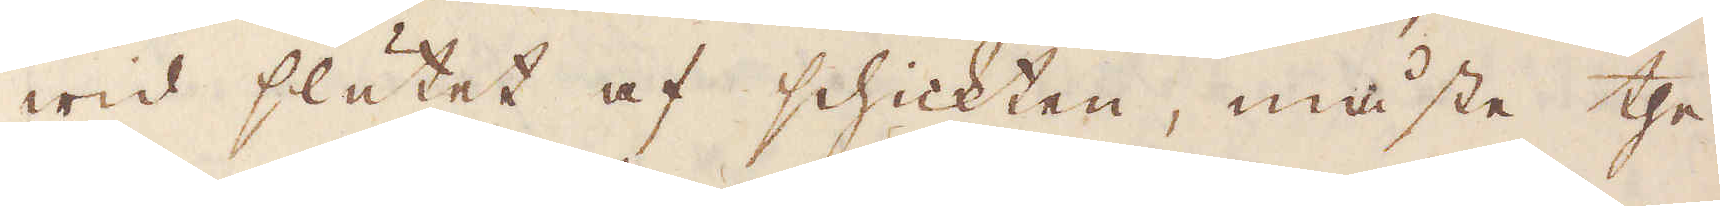wid slutet af schickten, måste the
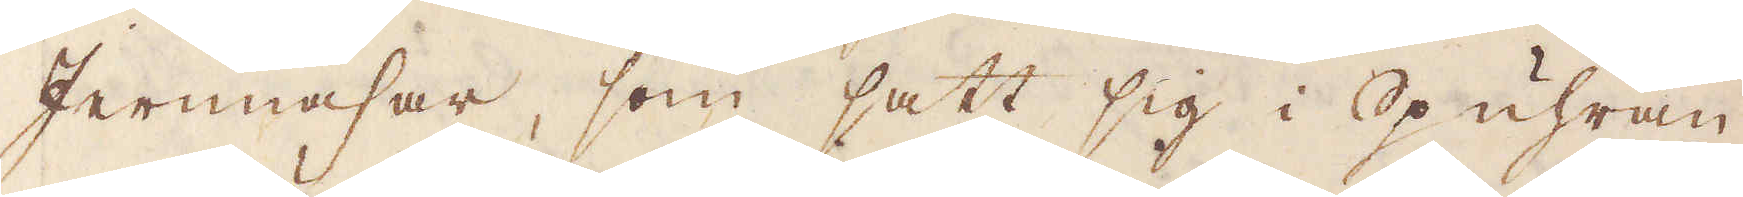Jernnasar, som satt sig i Spuhran
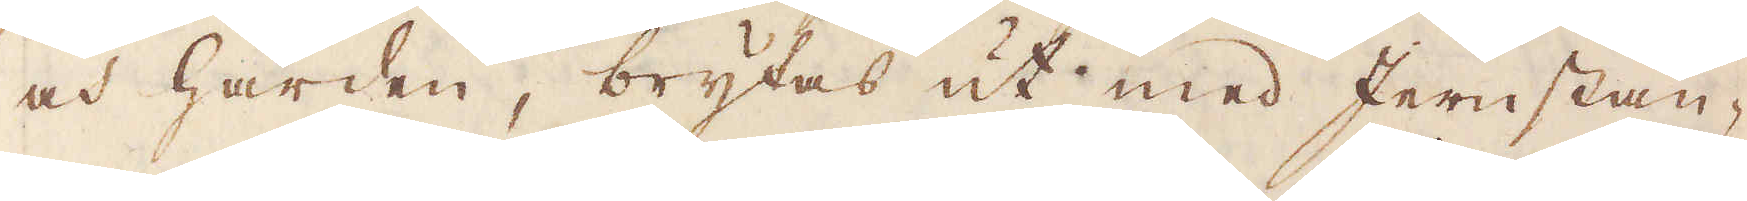och härden, brytas ut med Jernstån-
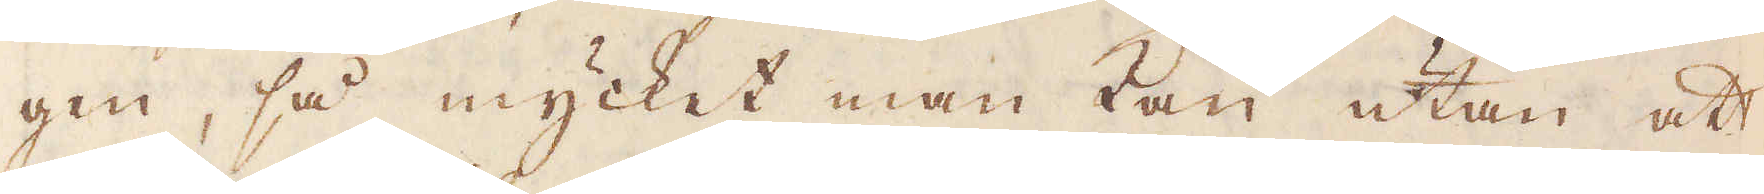gen, så mycket man kan utan att
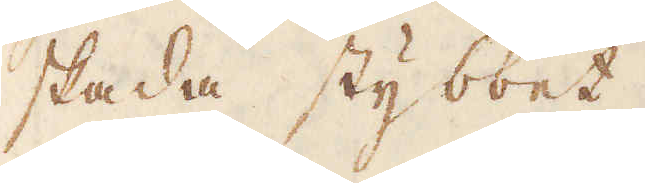skada stybbet.
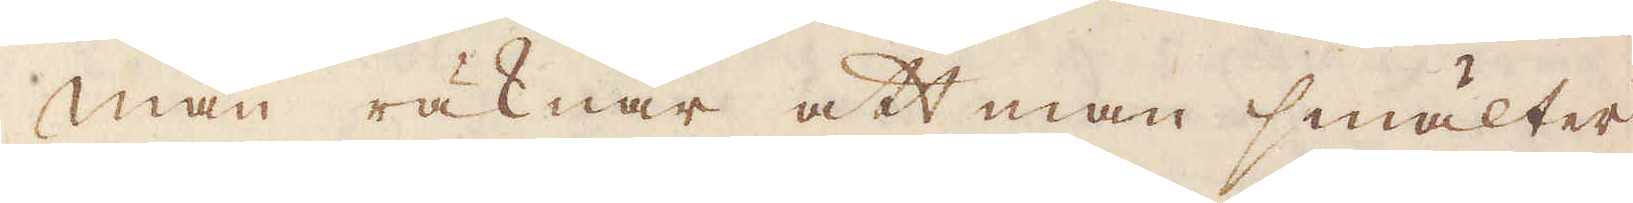Man räknar att man smälter
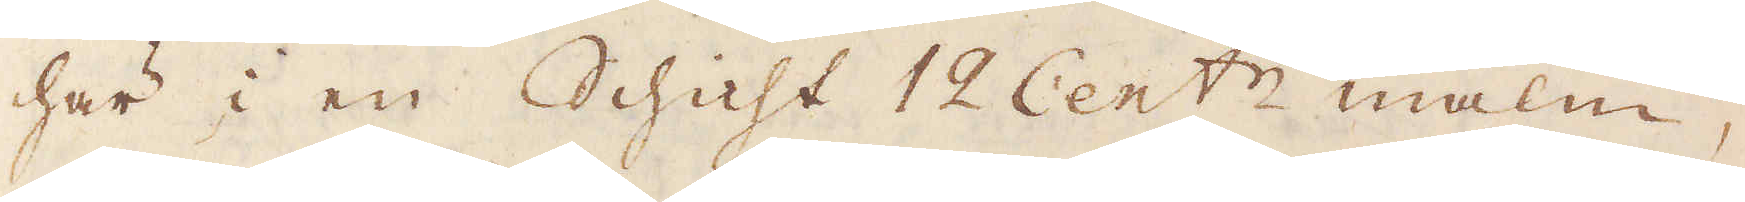här i en Schicht 12 Cent:r malm,
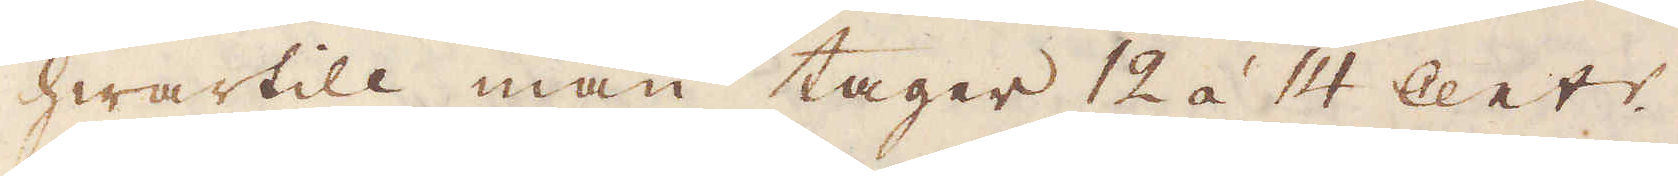hwartill man tager 12 à 14 Cent:r
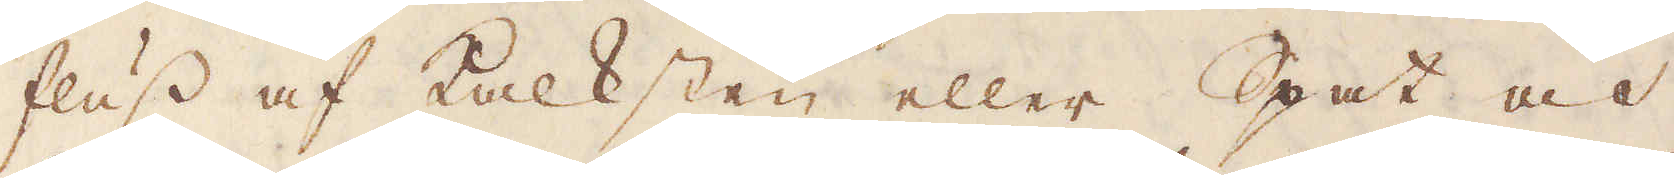fluss af kalksten eller Spat och
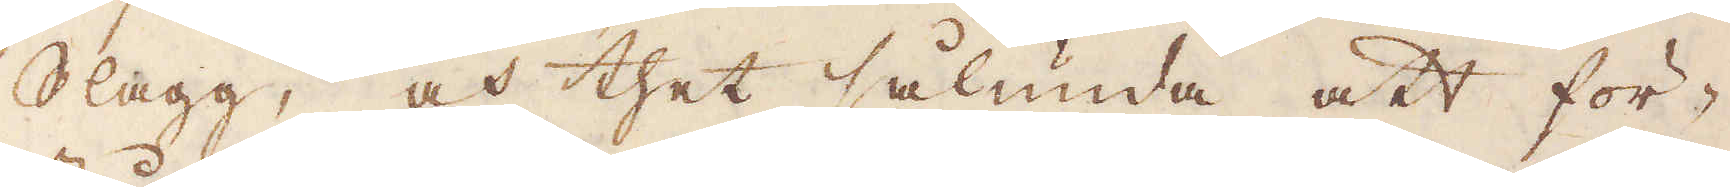Slagg, och thet sålunda att för-
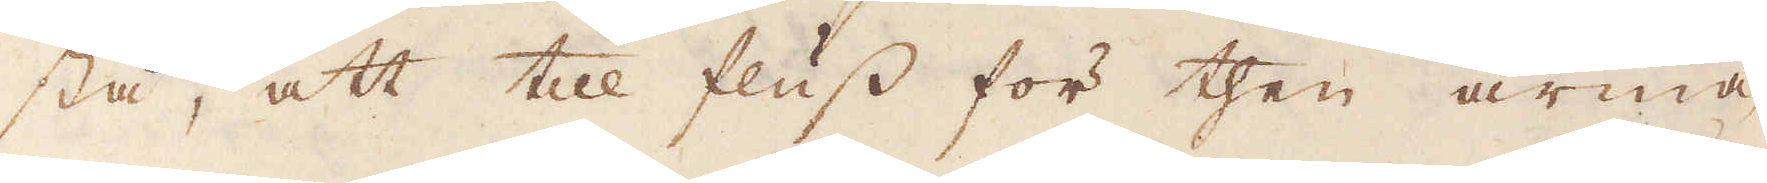stå, att till fluss för then arma-
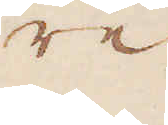re.
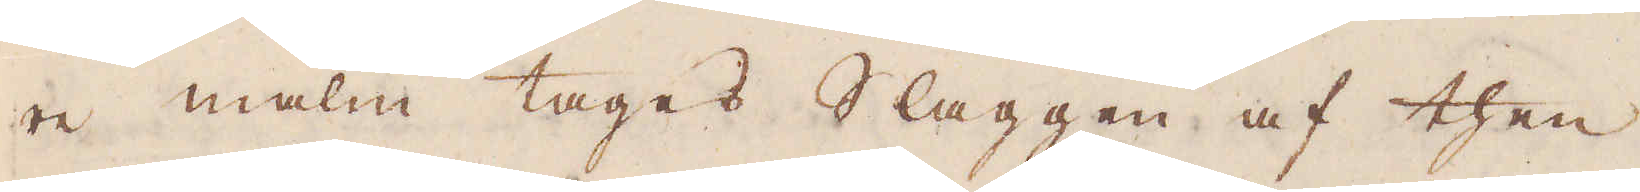re malm tages Slaggen af then
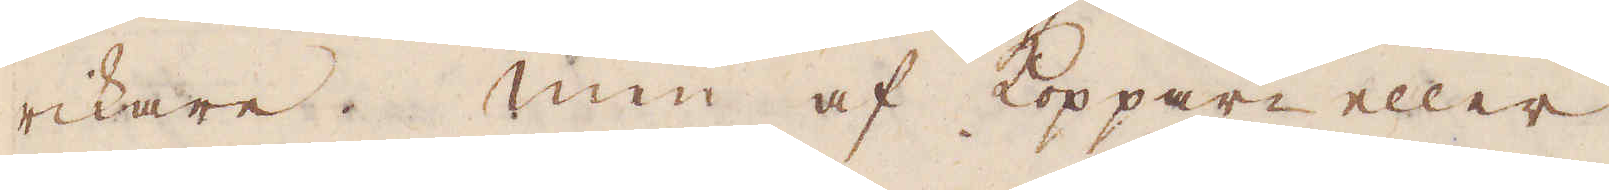rikare. Men af Koppar eller
